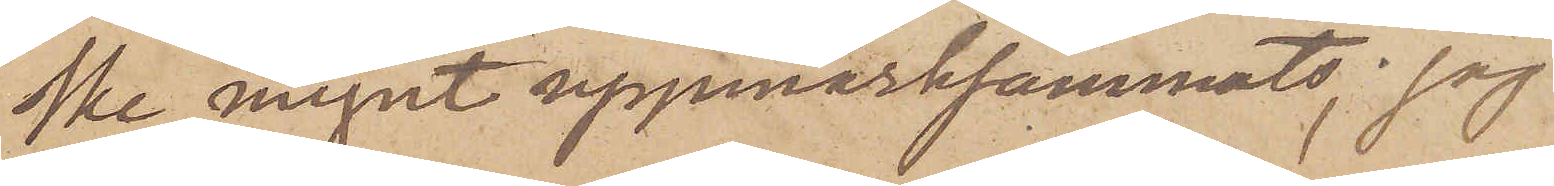ske mynt uppmärksammats, jag
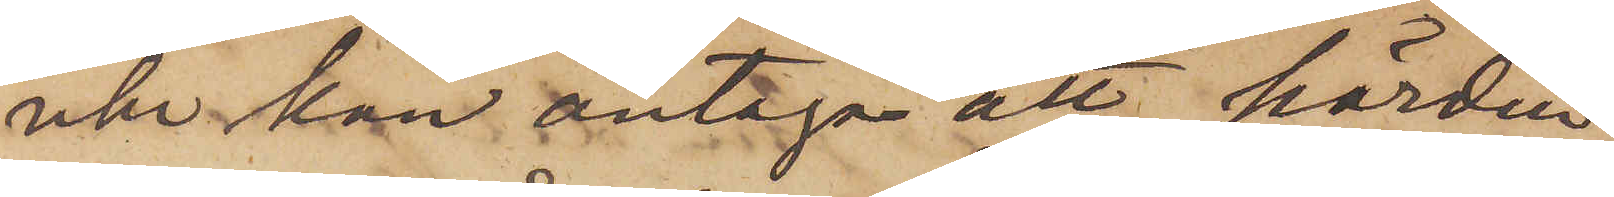icke kan antaga att härden
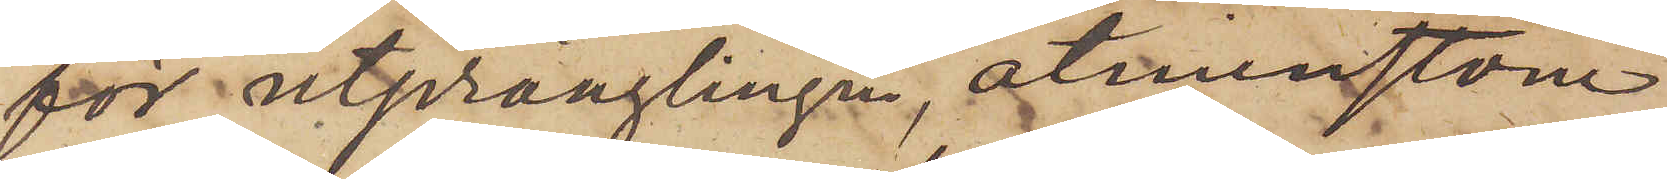för utprånglingen, åtminstone
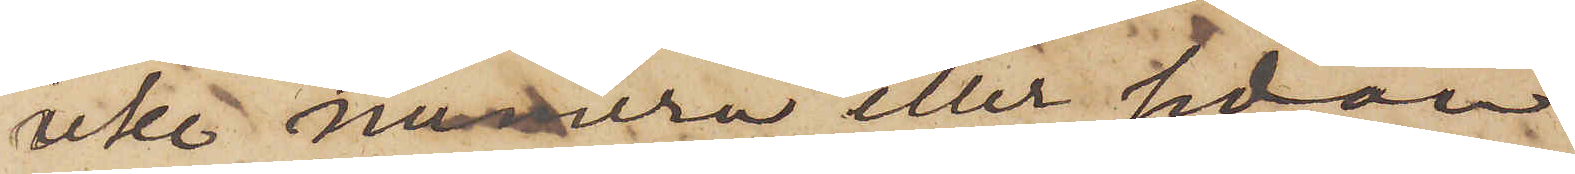icke numera eller sedan
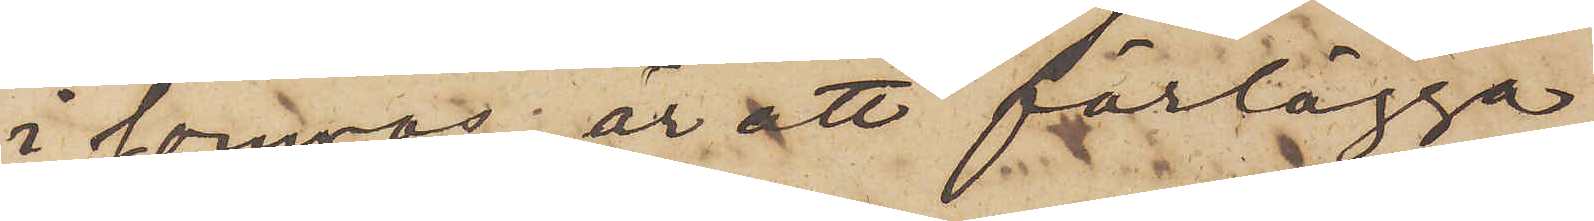i somras; är att förlägga
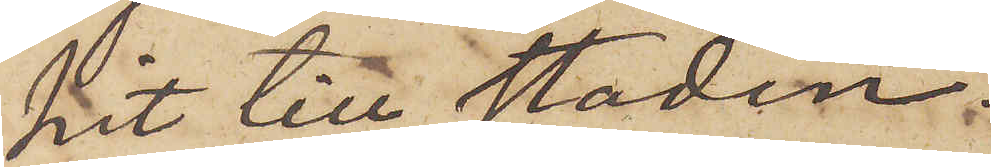hit till staden.
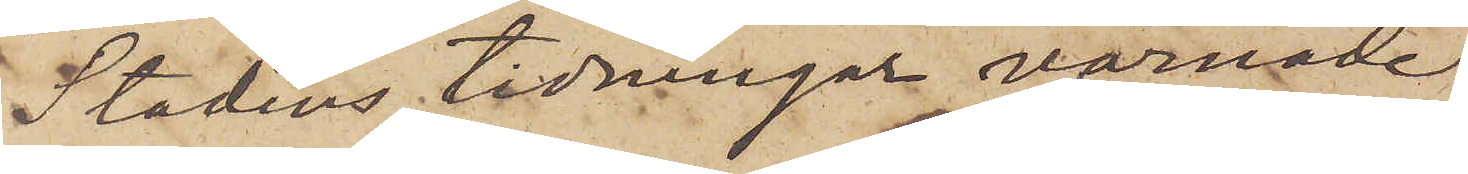Stadens tidningar varnade
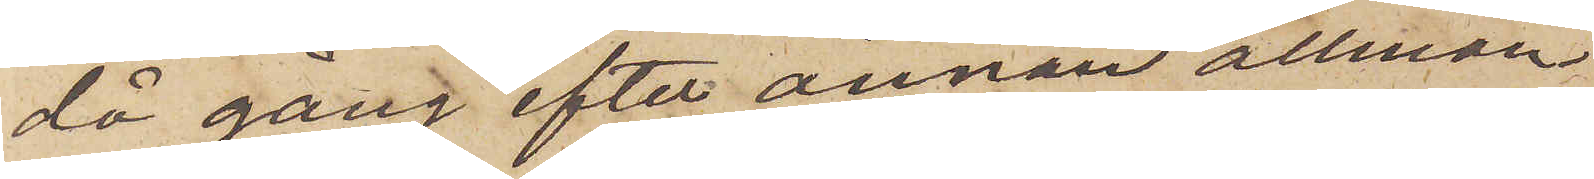då gång efter annan allmän¬
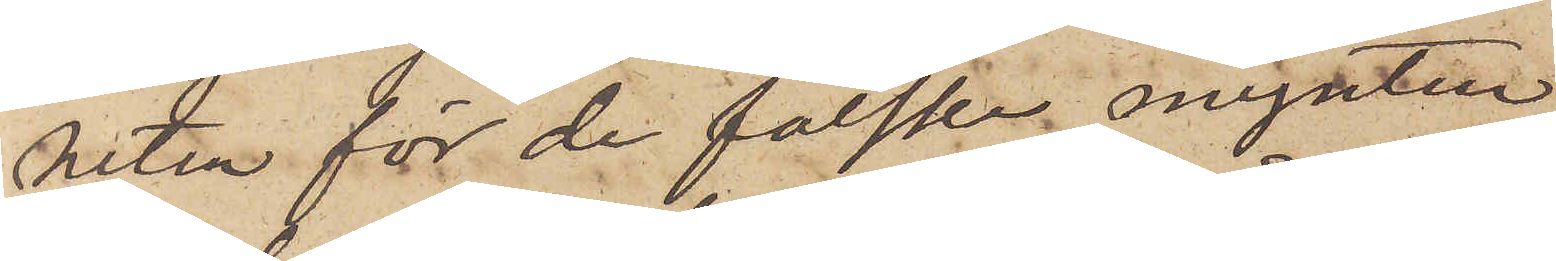heten för de falska mynten
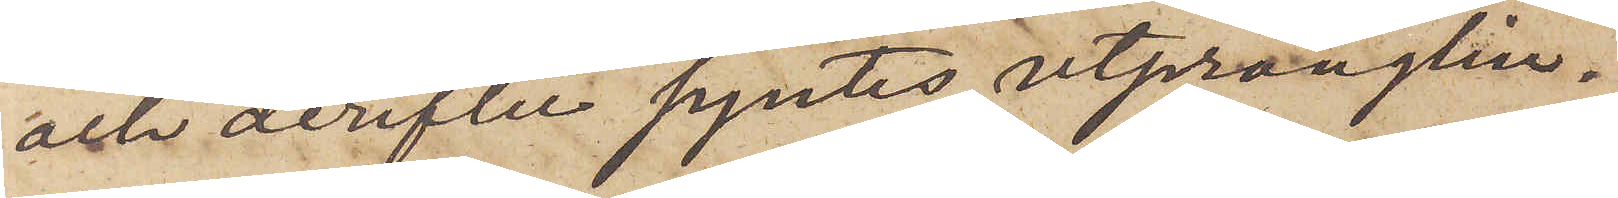och derefter syntes utprånglin¬
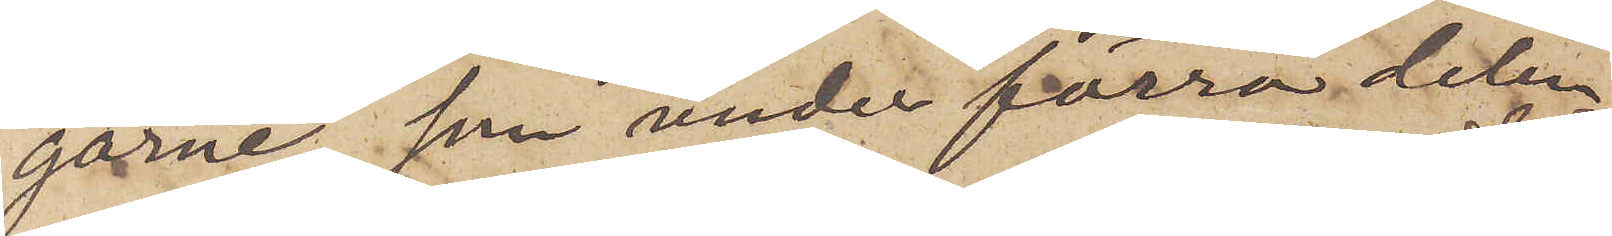garne, som under förra delen
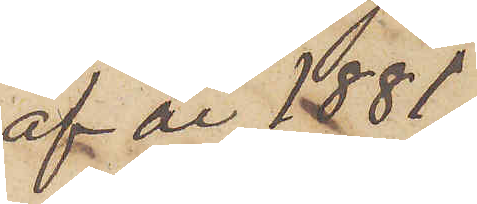af år 1881
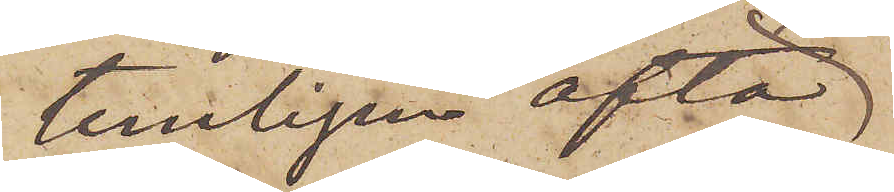temligen ofta
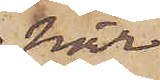här
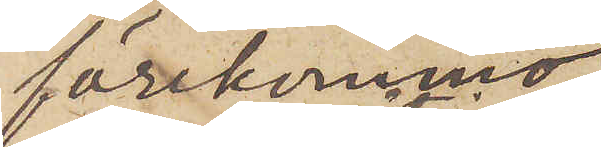förekommo
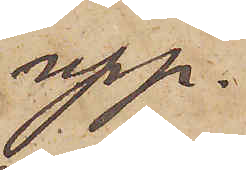upp¬
